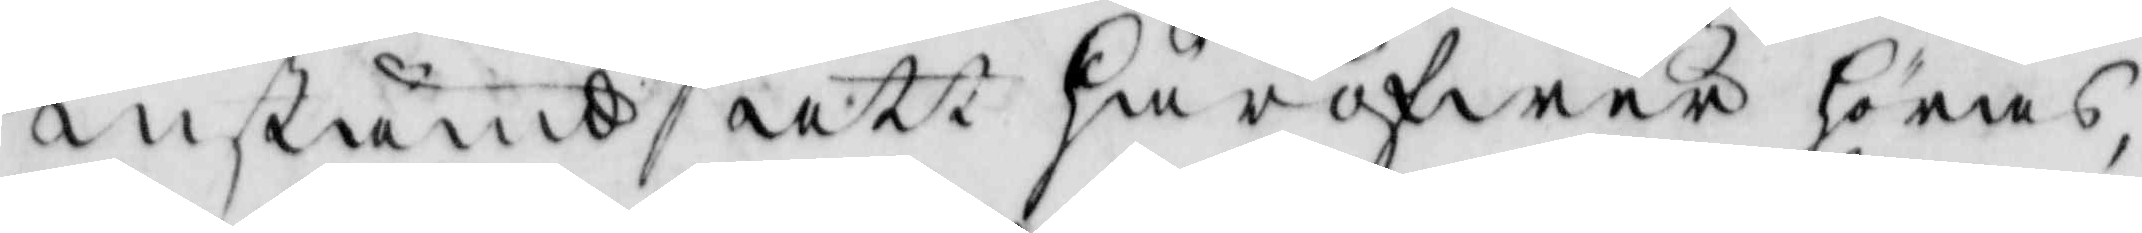instämd att häröfwer höras,
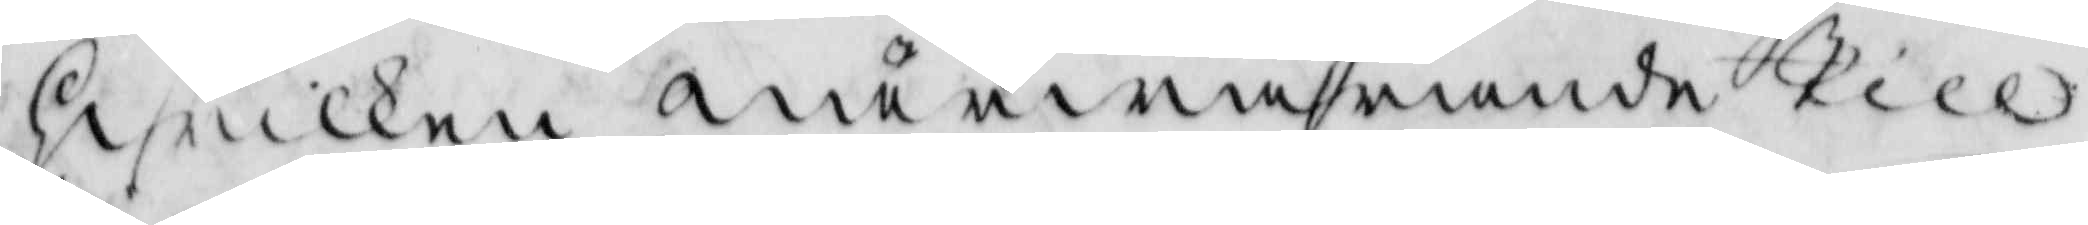hwilken närwarande Till
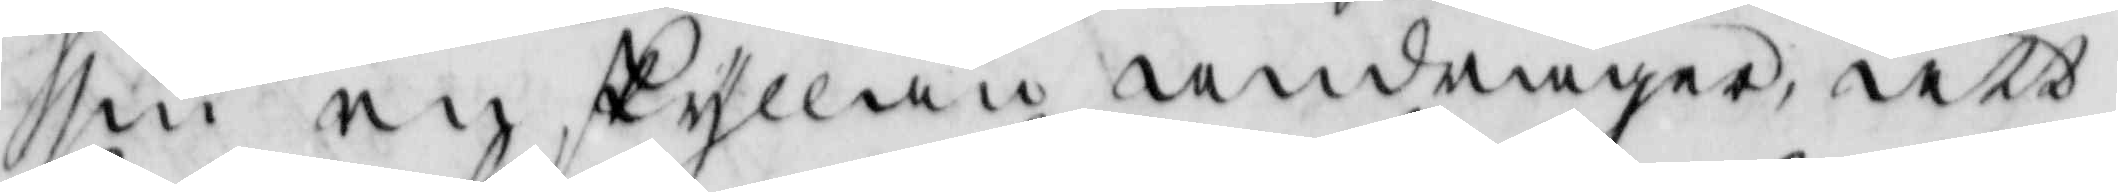sin an skyllan andrager, att
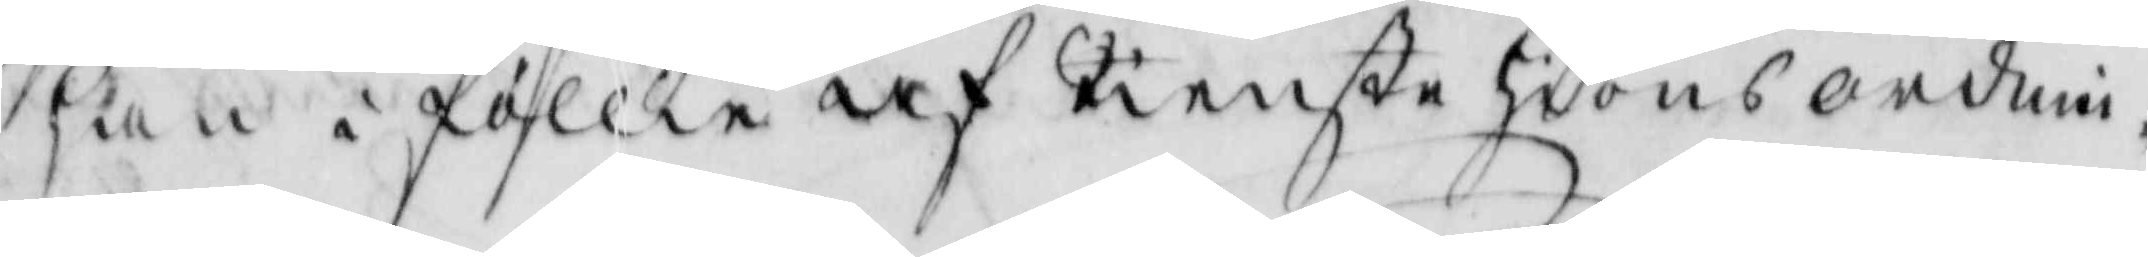han i föllie af Tienstehions ordni¬
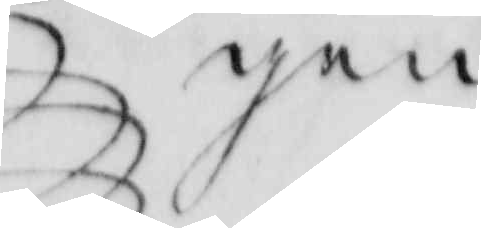gen
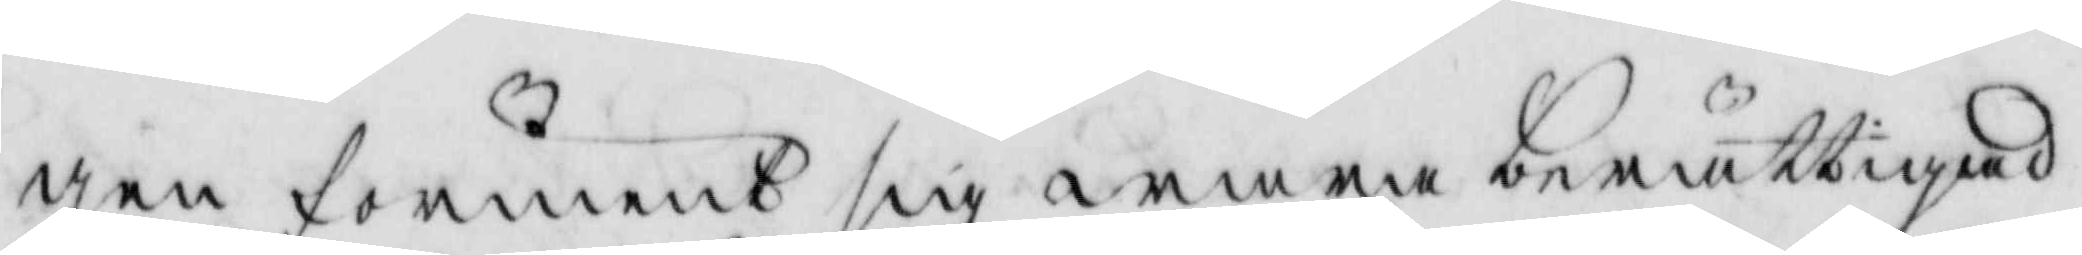gen förment sig wara berättigad
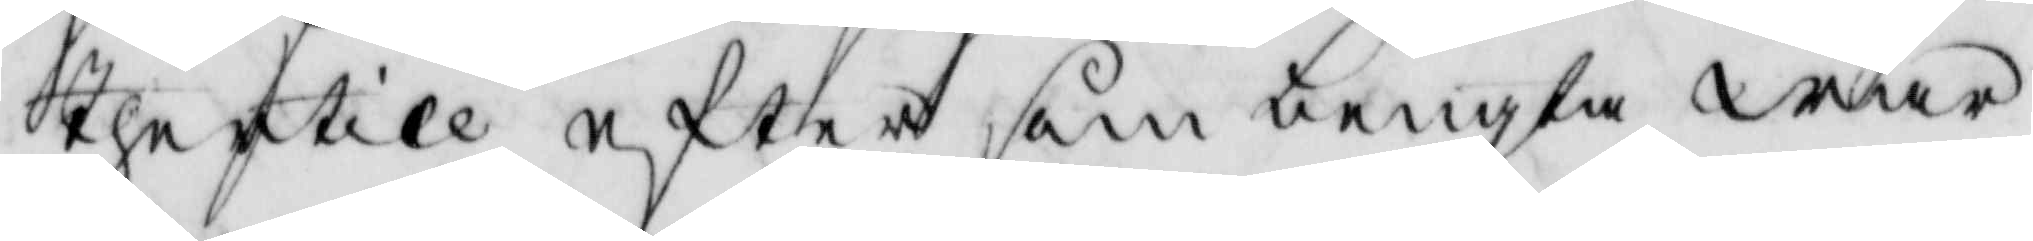thertill efter som bengta war
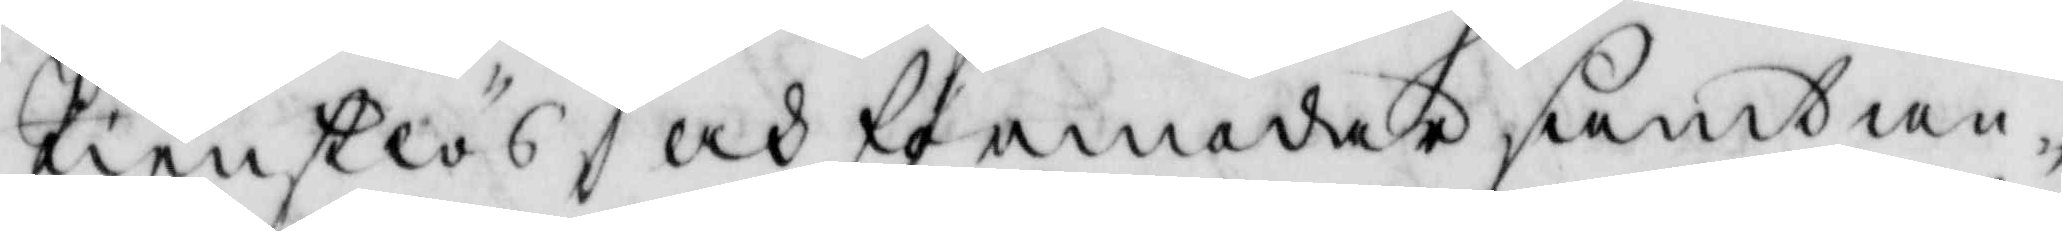tienstlös och förmodar samtan¬
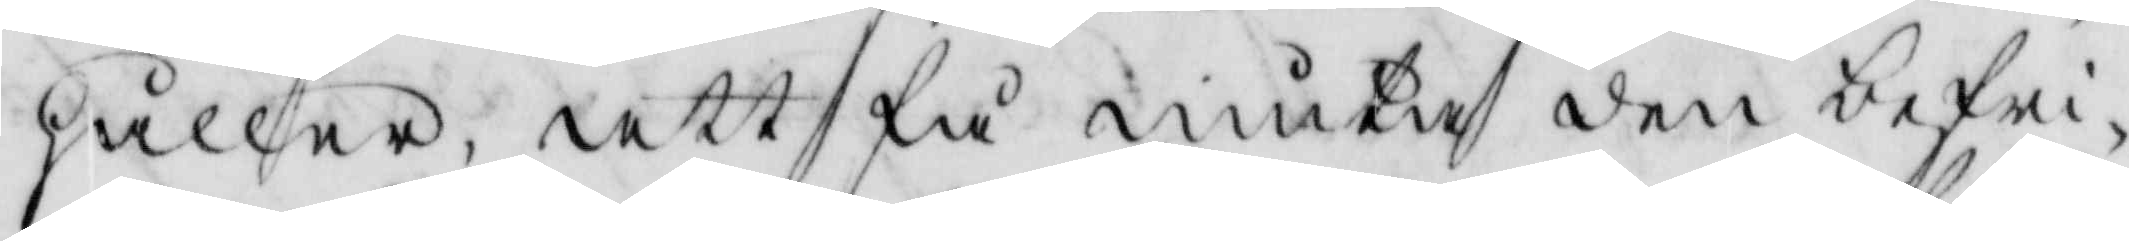håller, att få niuta den befri¬
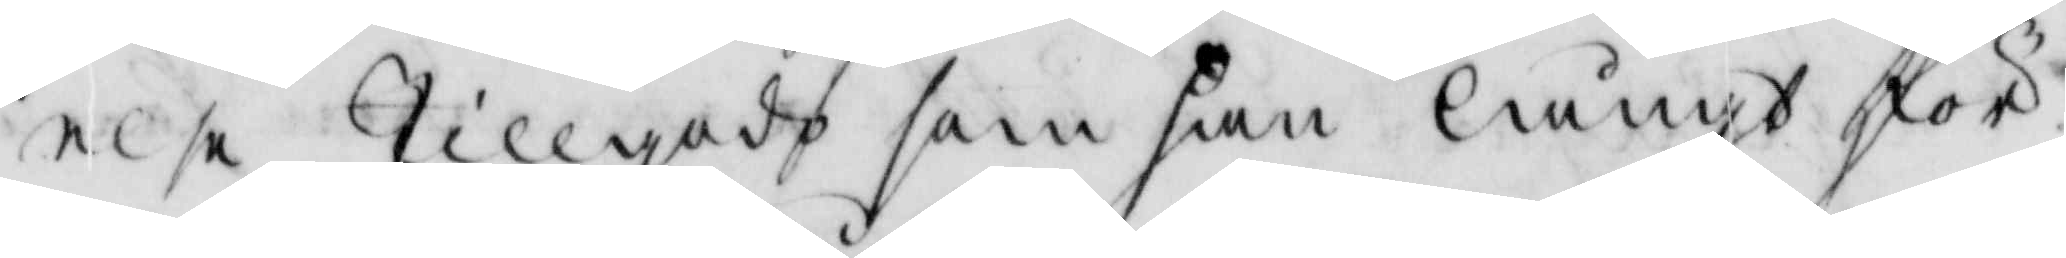else tillgodo som han längt för¬
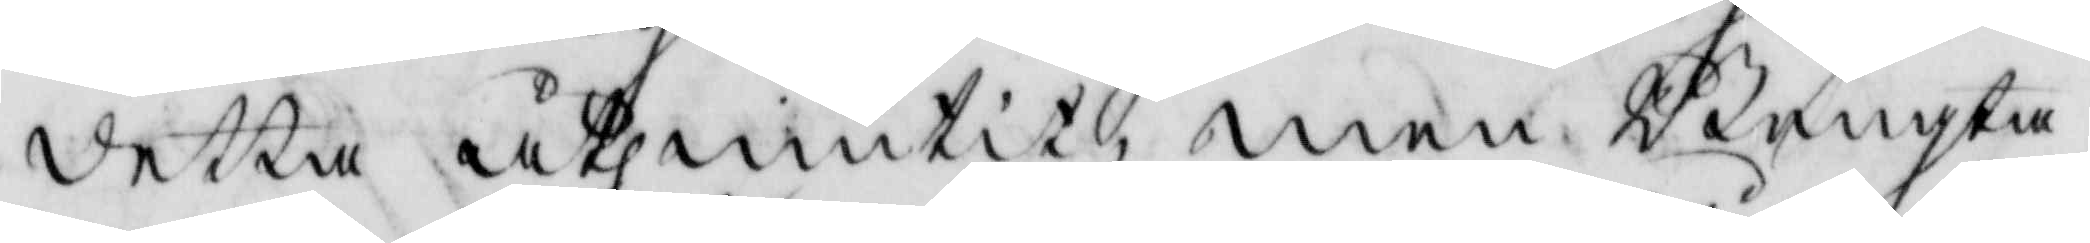detta åthniutit, men Bengta
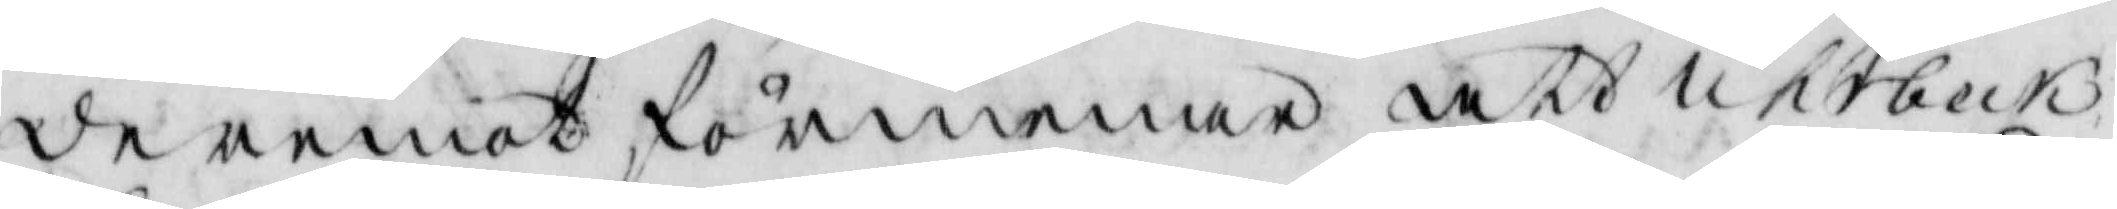deremot förmenar att ukebeck
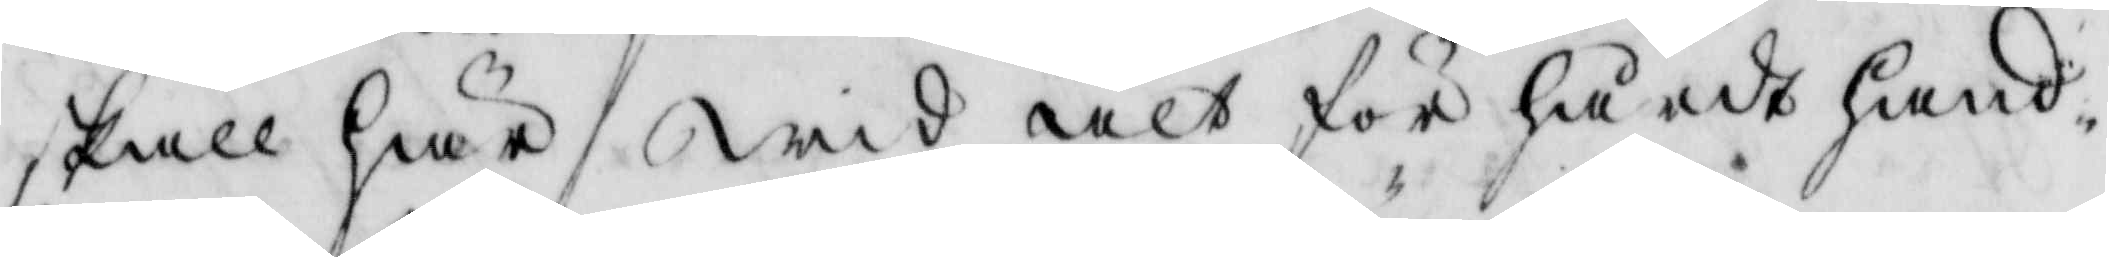skall här wid alt för hårdt hand¬
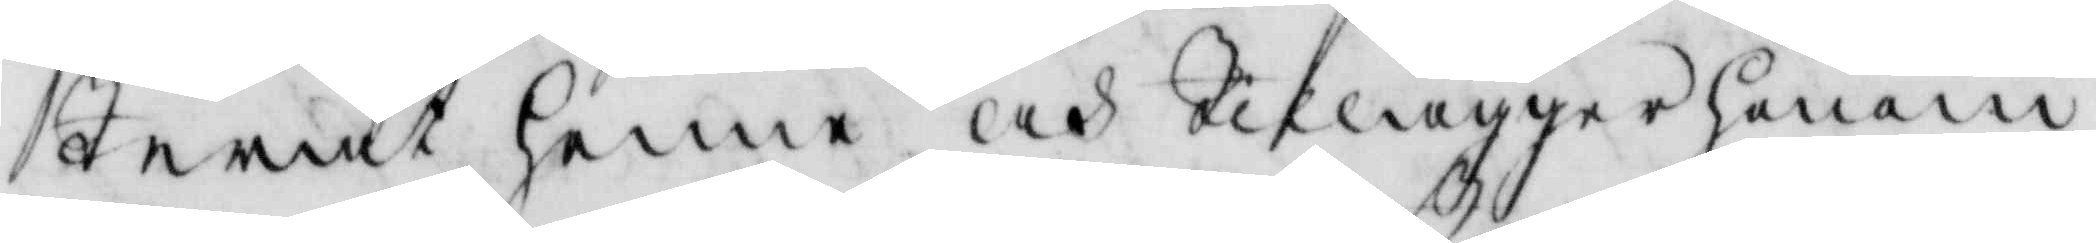terat henne och tilägger honom
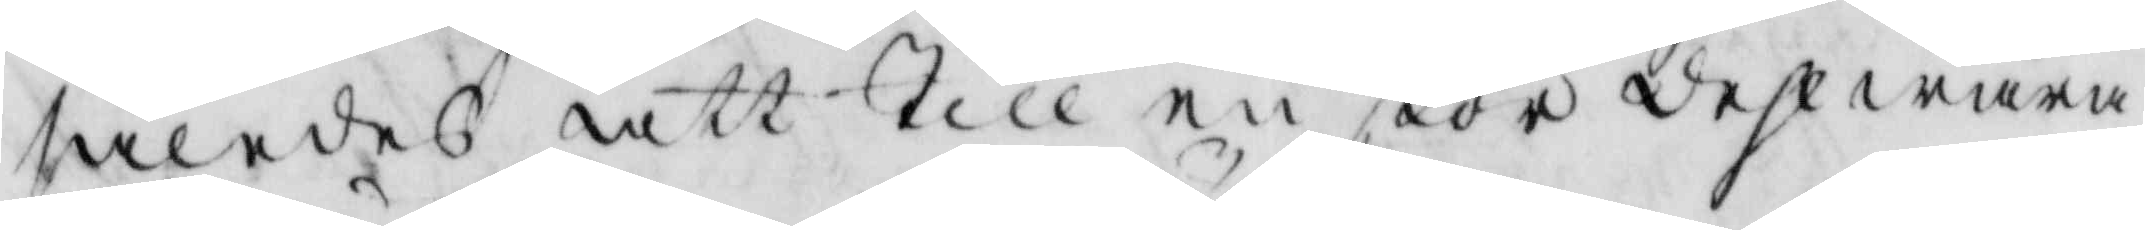således att till en stor dehl wara
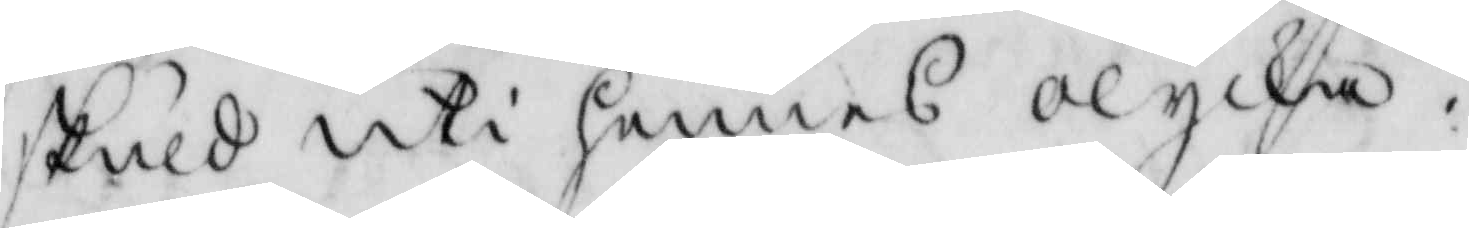skuld uti hennes olycka.
